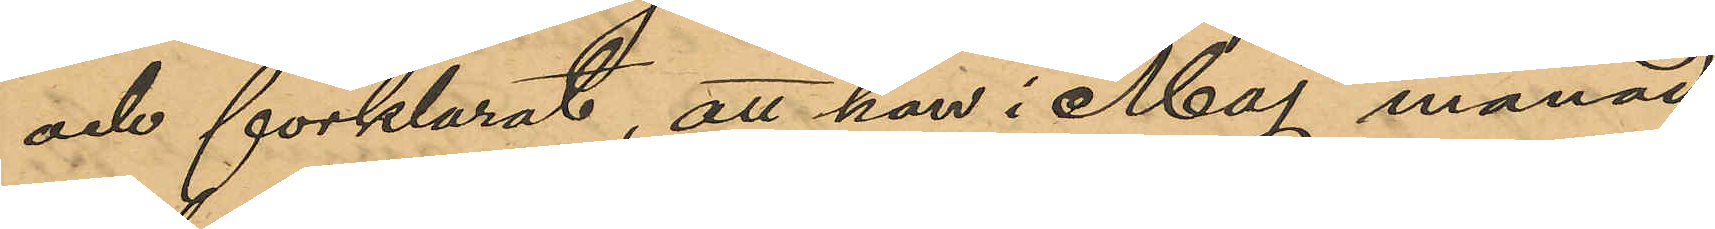och förklarat, att han i Maj månad
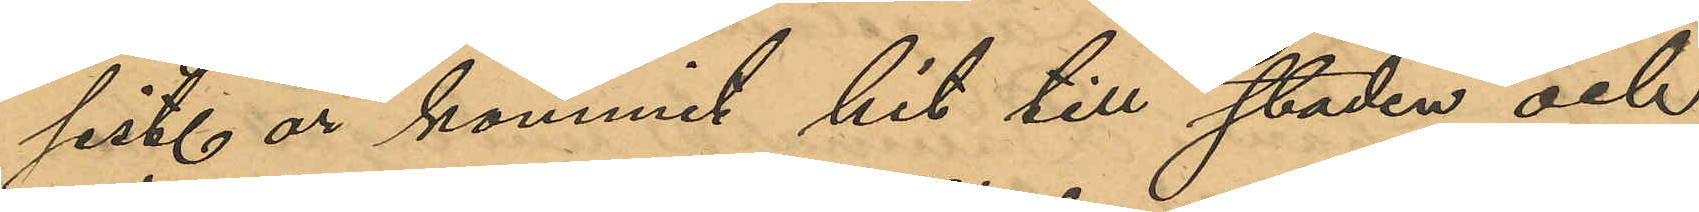sist. år kommit hit till staden och
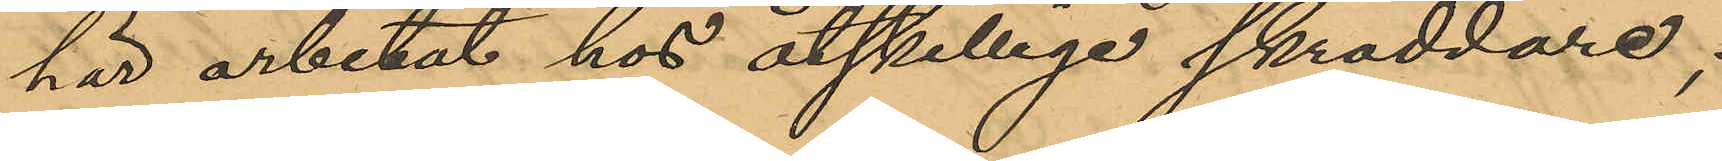här arbetat hos åtskillige skräddare,
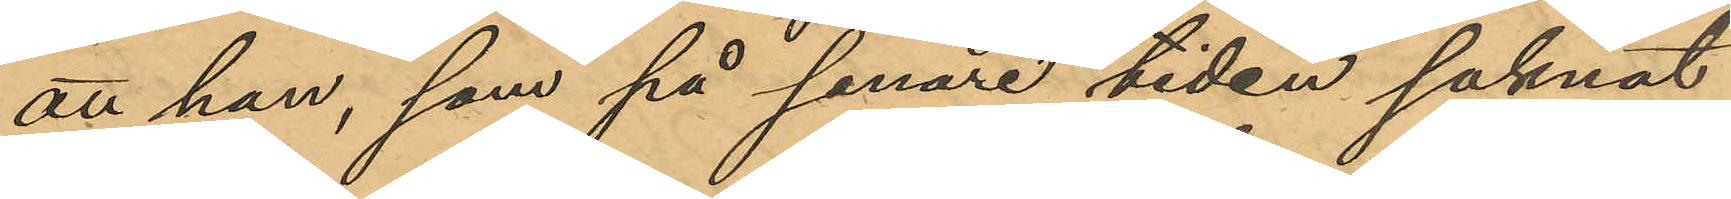att han, som på senare tiden saknat
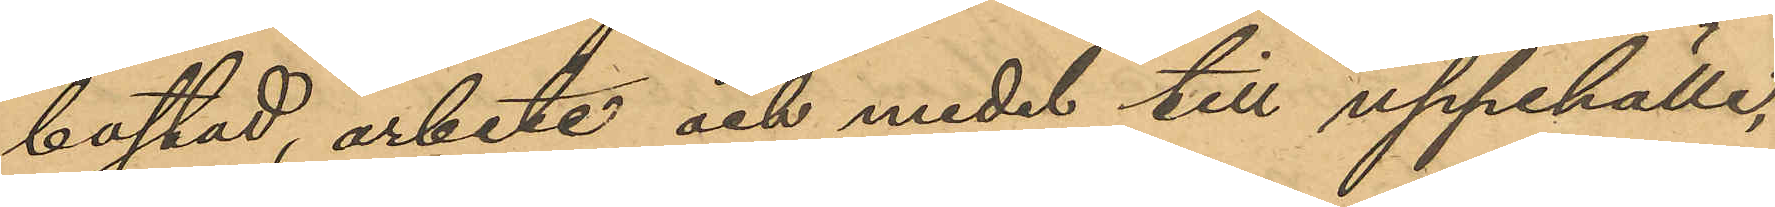bostad, arbete och medel till uppehälle,
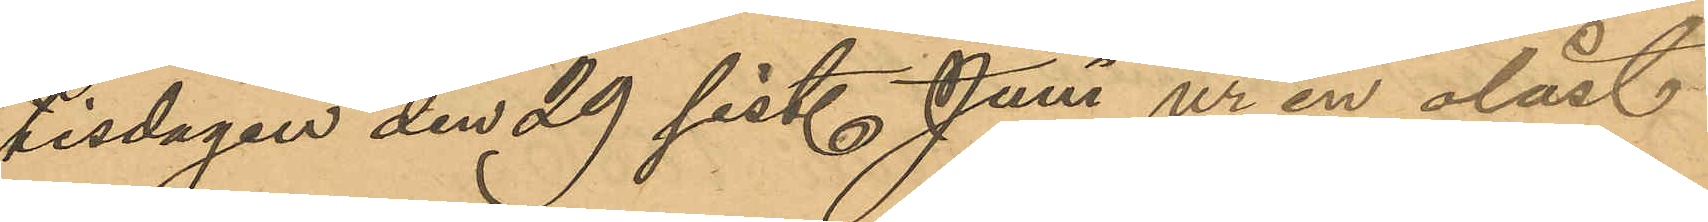tisdagen den 29 sist. Juni ur en olåst
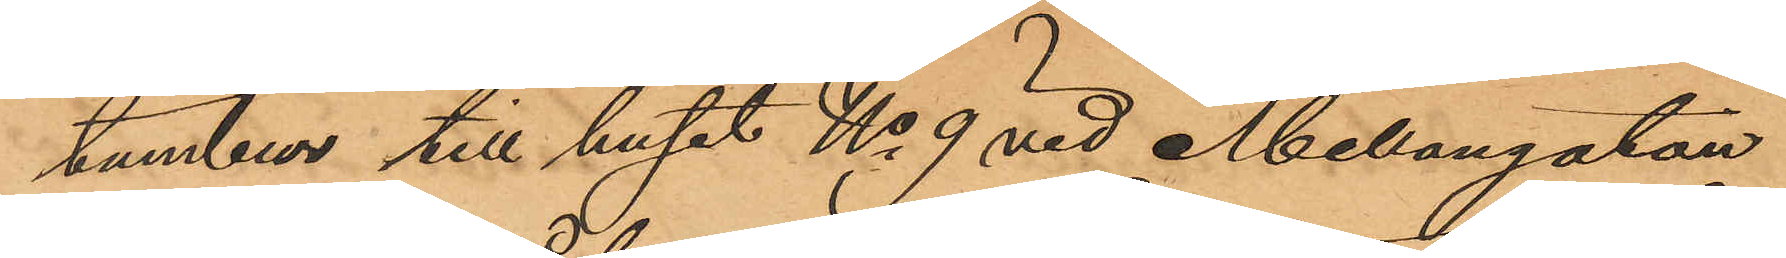tambur till huset No 9 vid Mellangatan
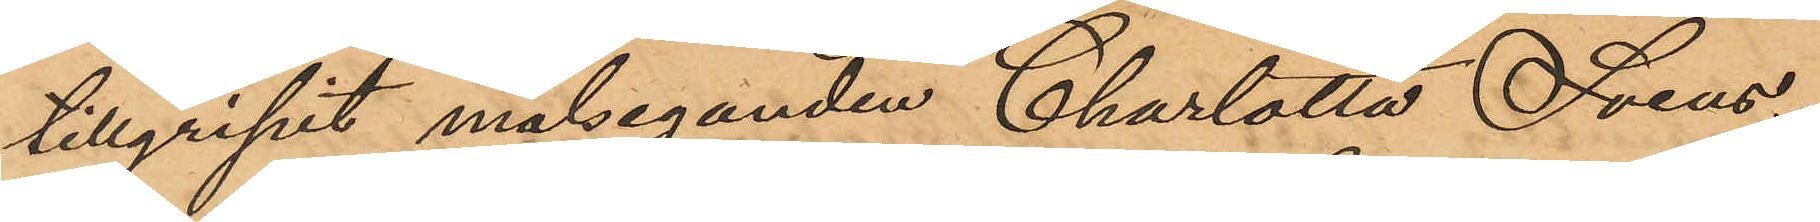tillgripit målseganden Charlotta Svens¬
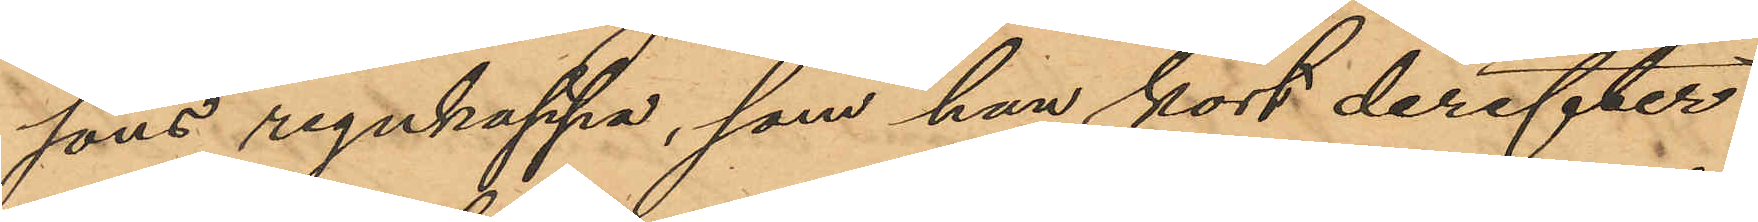sons regnkappa, som han kort derefter
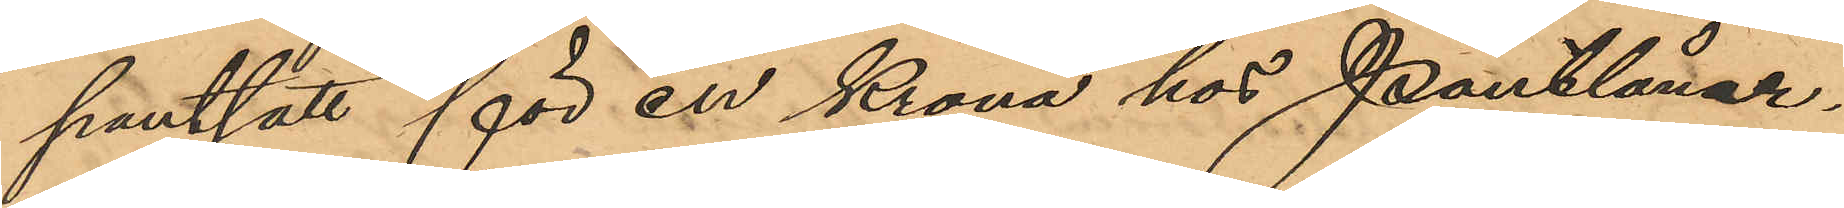pantsatt för en Krona hos Pantlåner¬
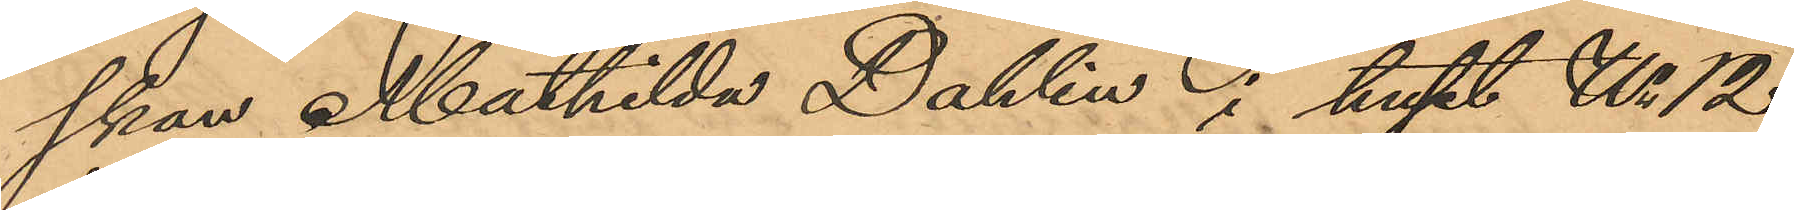skan Mathilda Dahlin i huset No 12
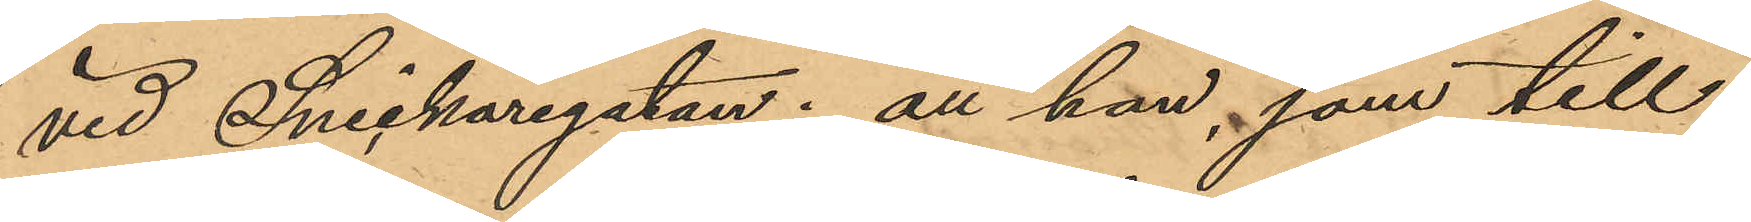vid Snickaregatan; att han, som till¬
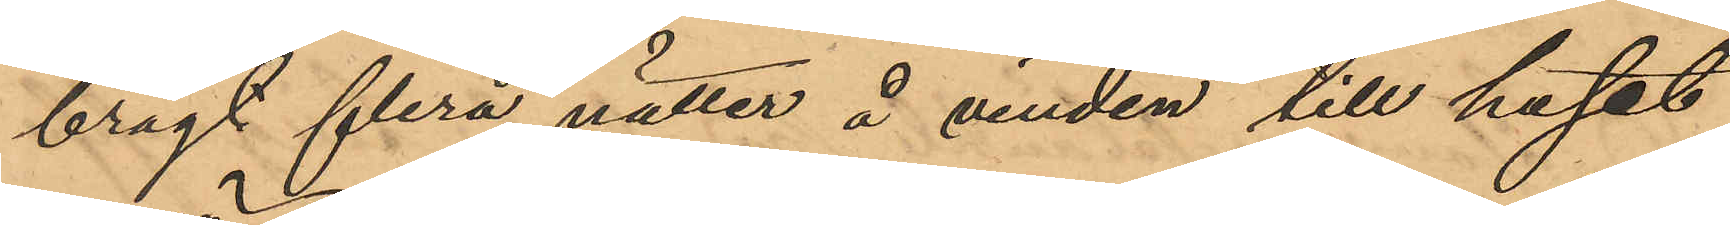bragt flera nätter å vinden till huset
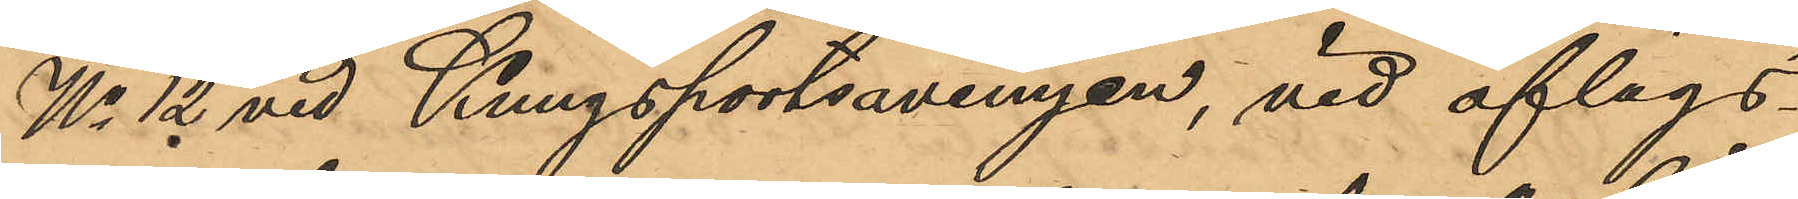No 12 vid Kungsportsavenyen, vid aflägs¬
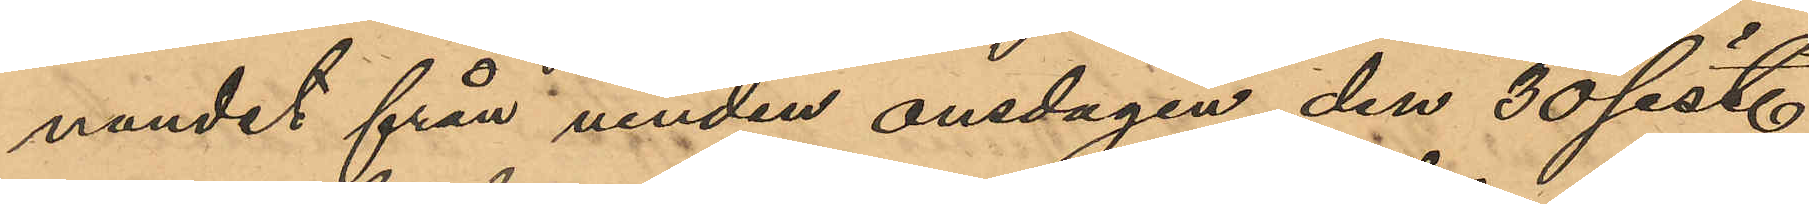nandet från vinden onsdagen den 30 sist.
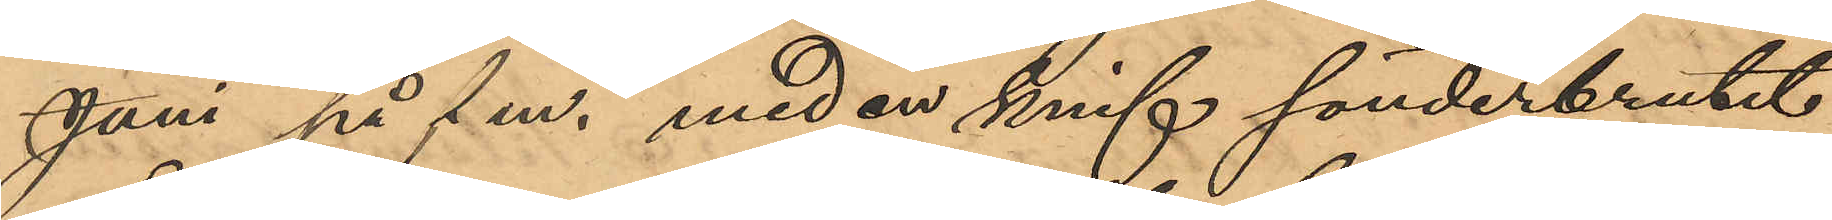Juni på f.m., med en knif sönderbrutit
